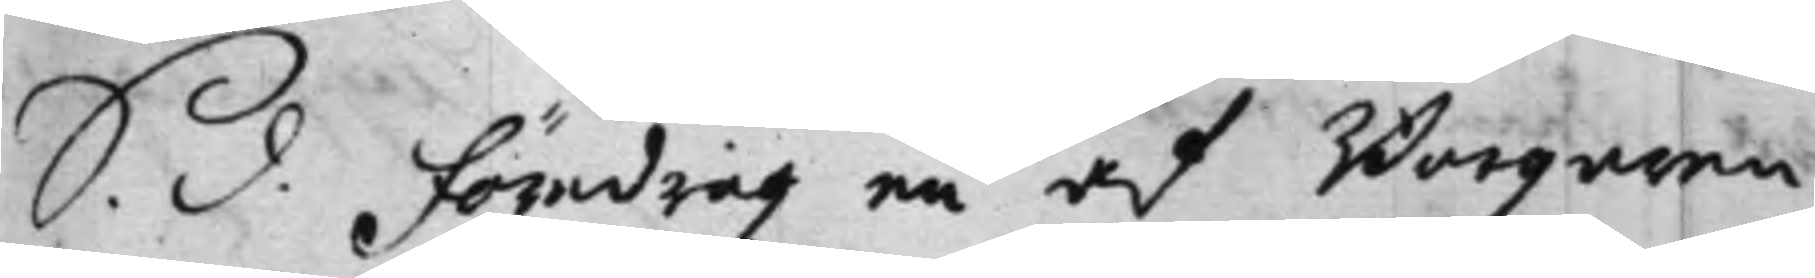S. d. Föredrogz en af Borgaren
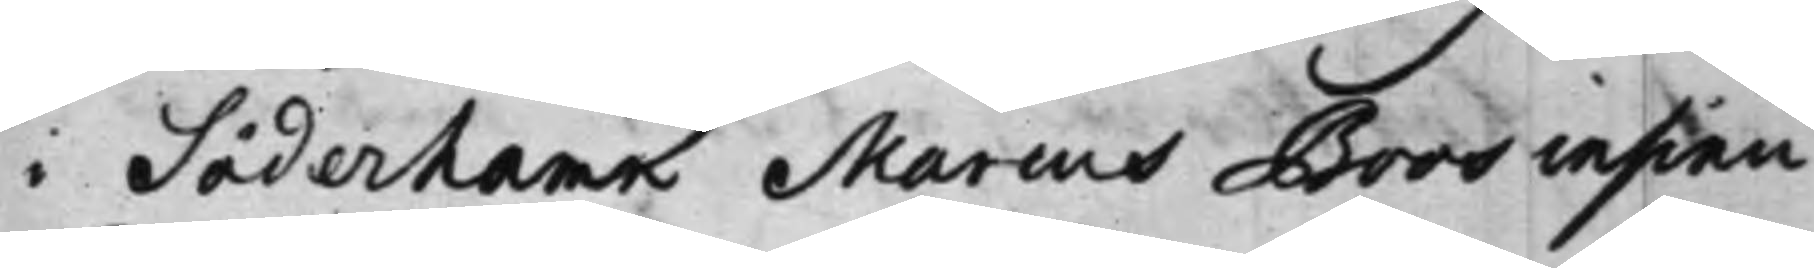i Söderhamn Marcus Boos insinu¬
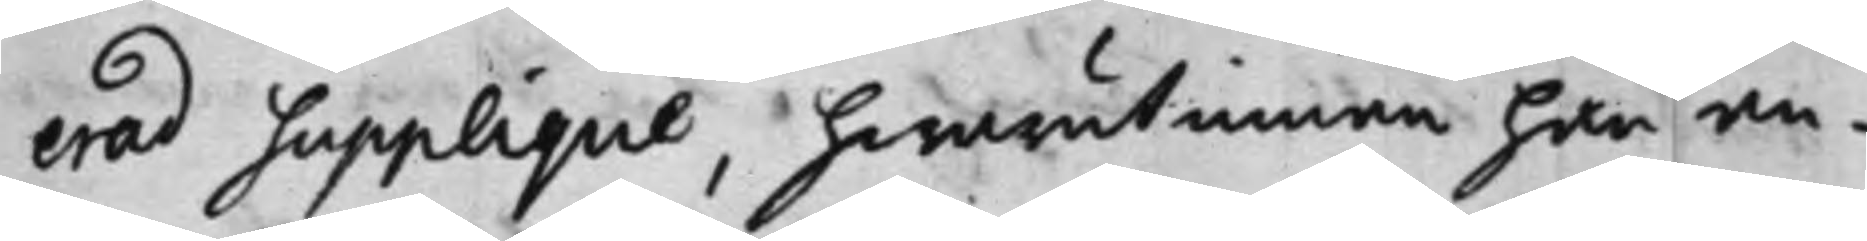erad upplique, hwarutinnan han an¬
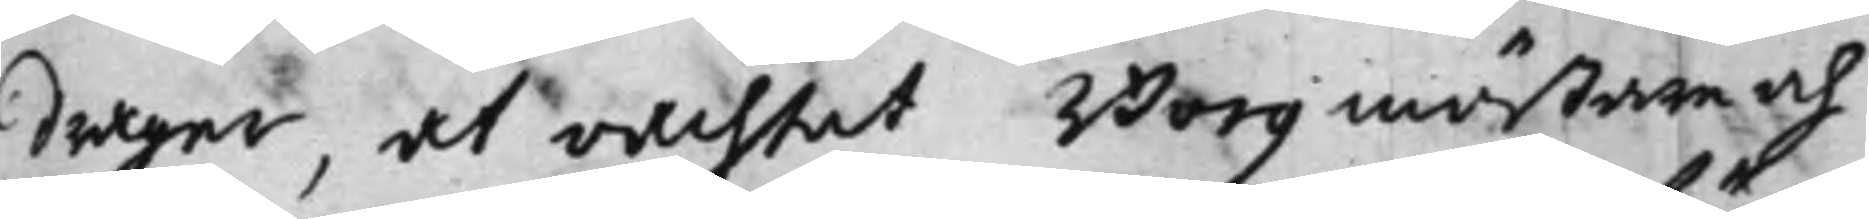drager, at oachtat Borgmästare och
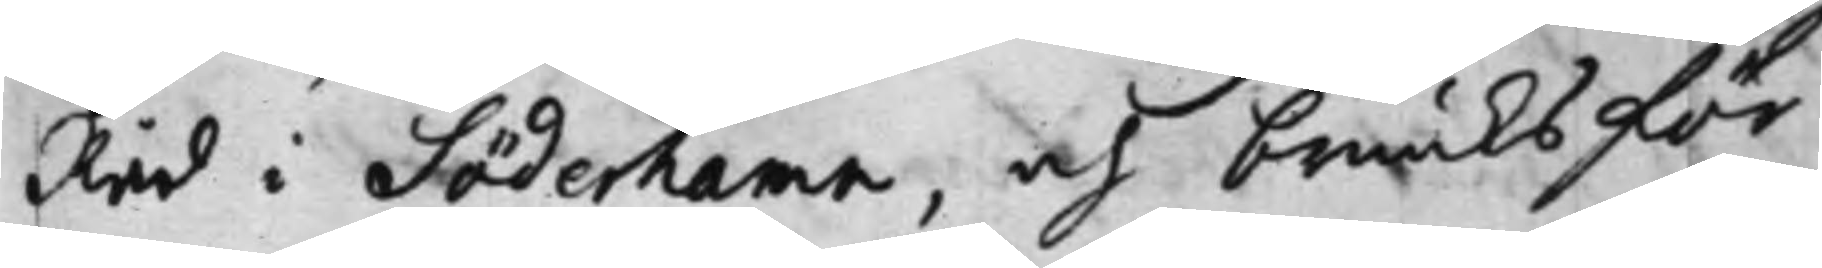Råd i Söderhamn, och bruuks för¬
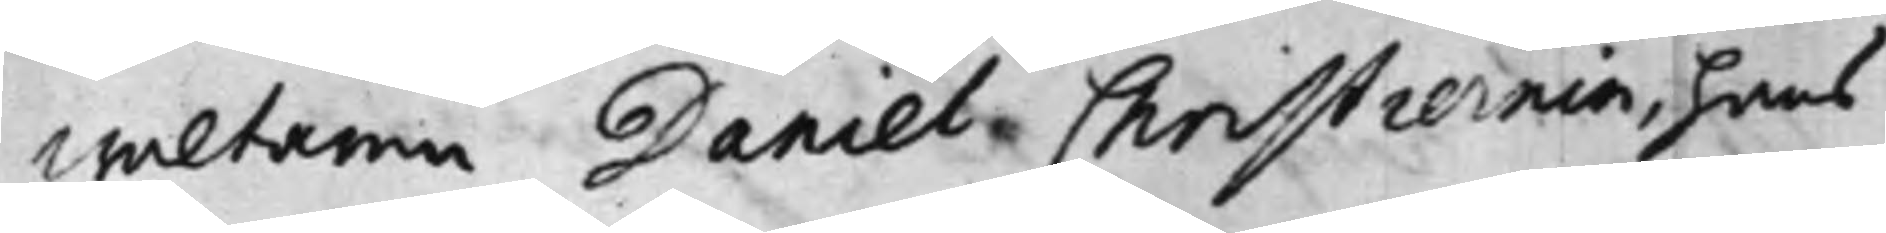waltaren Daniel Christiernin, hans
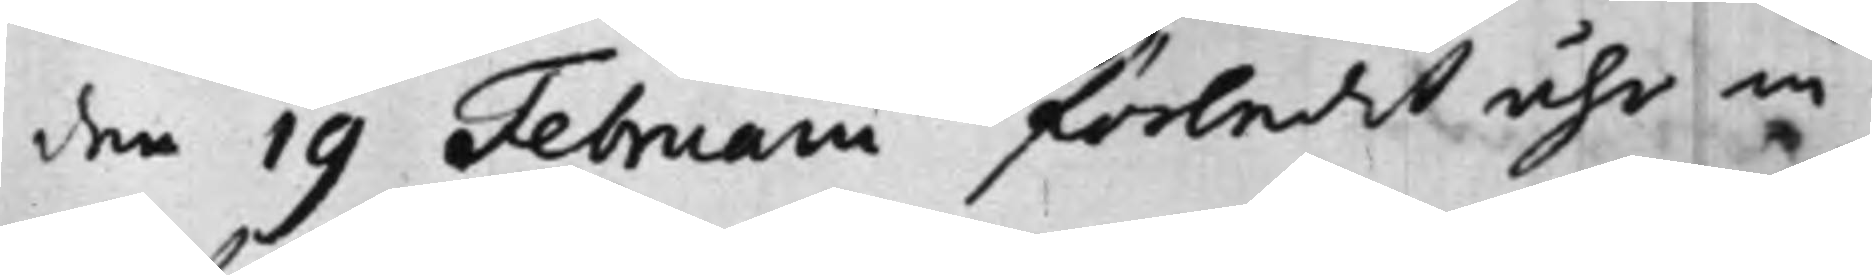den 19 Februarii förledit åhr in¬
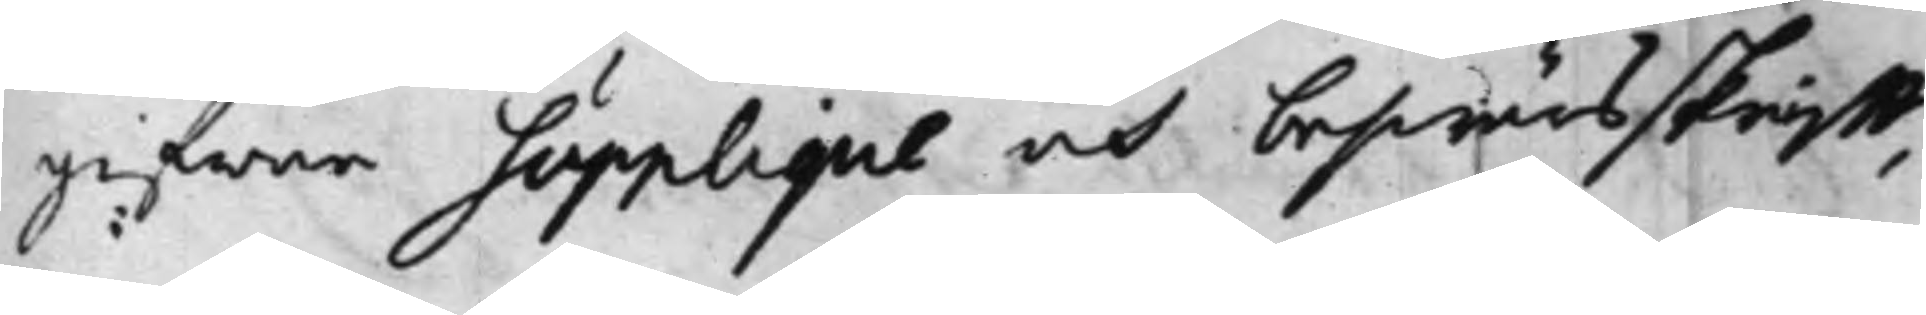gifwne Supplique och beswärs skrifft,
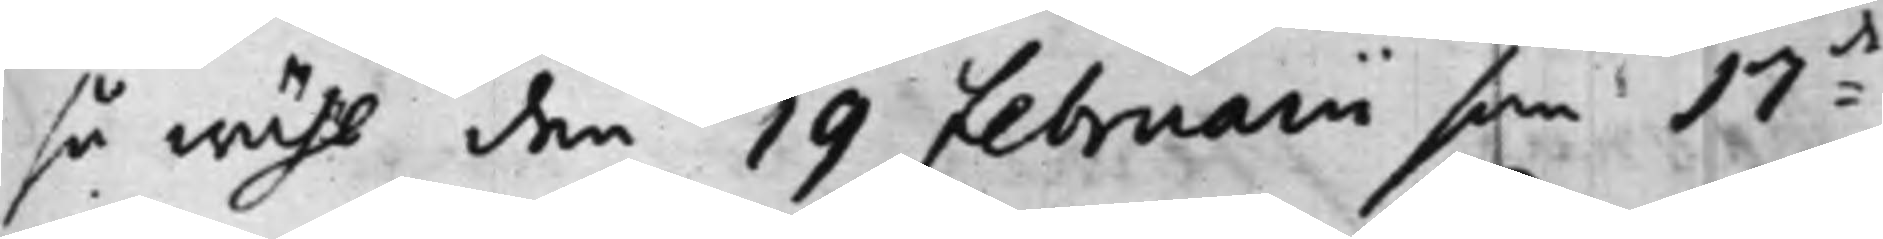så wähl den 19 Februarii som 17:de
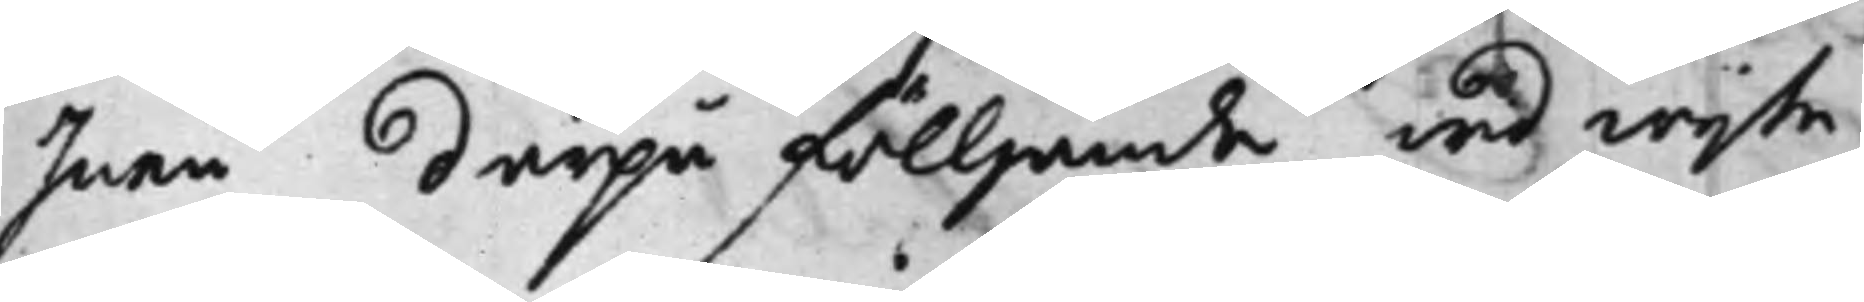Junii därpå fölljande wid wijte
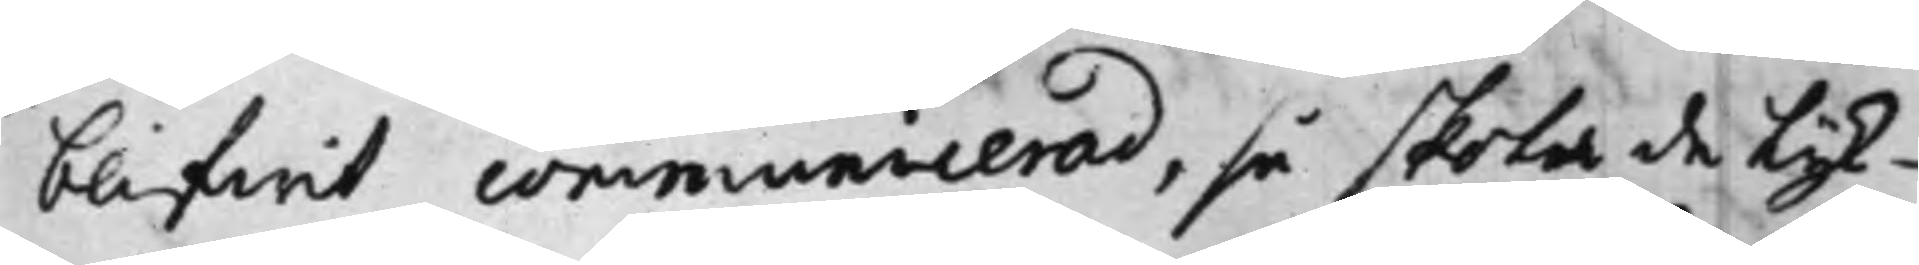blifwit communicerad, så skola de Lyk¬
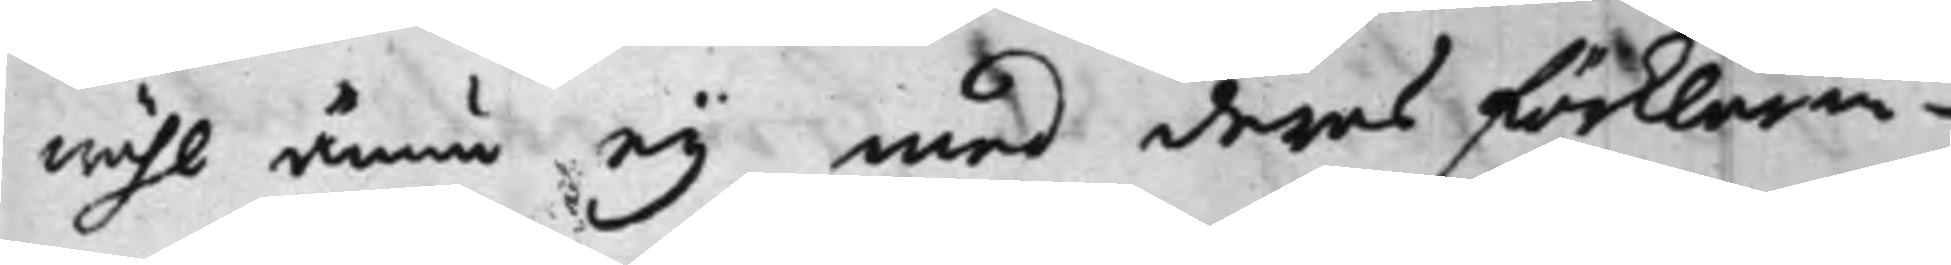wähl ännu ey med deras förklarin¬
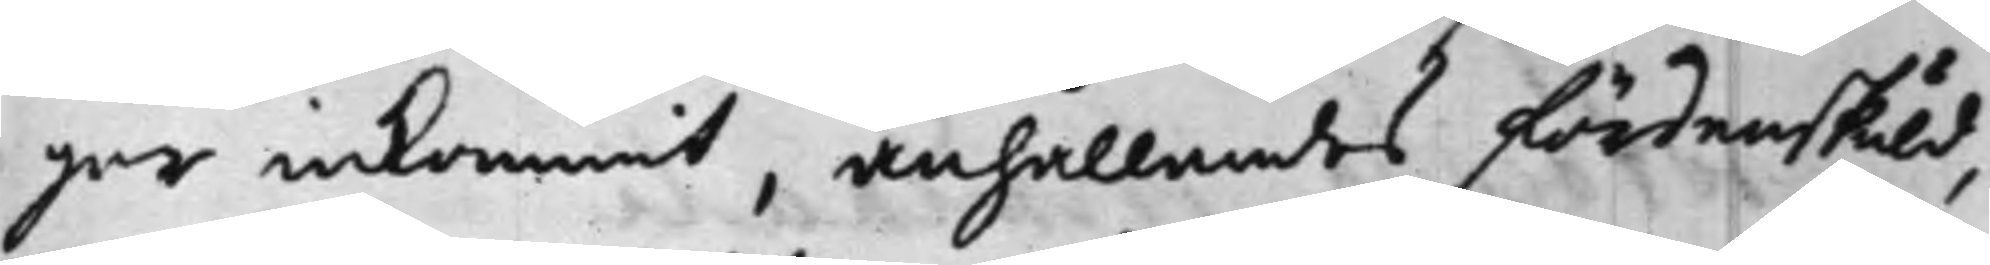gar inkommit, anhållandes fördenskuld,
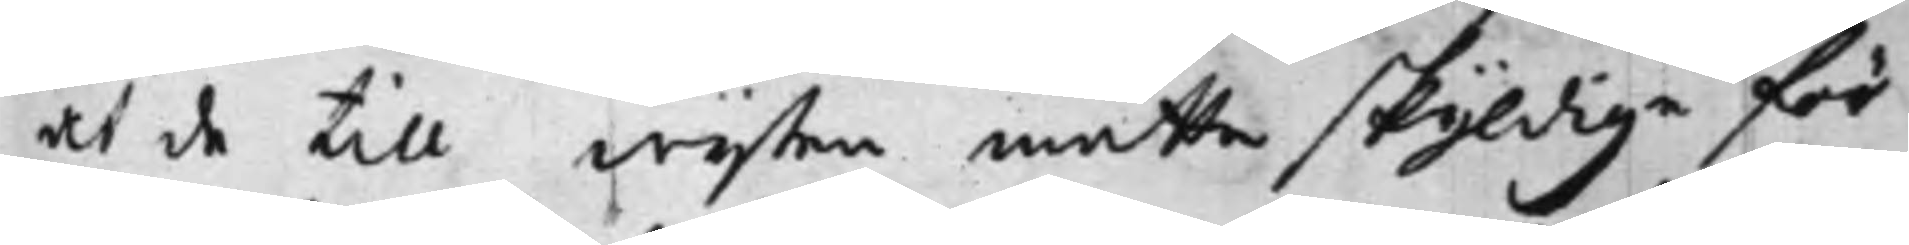at de till wijten måtte skyldige för¬
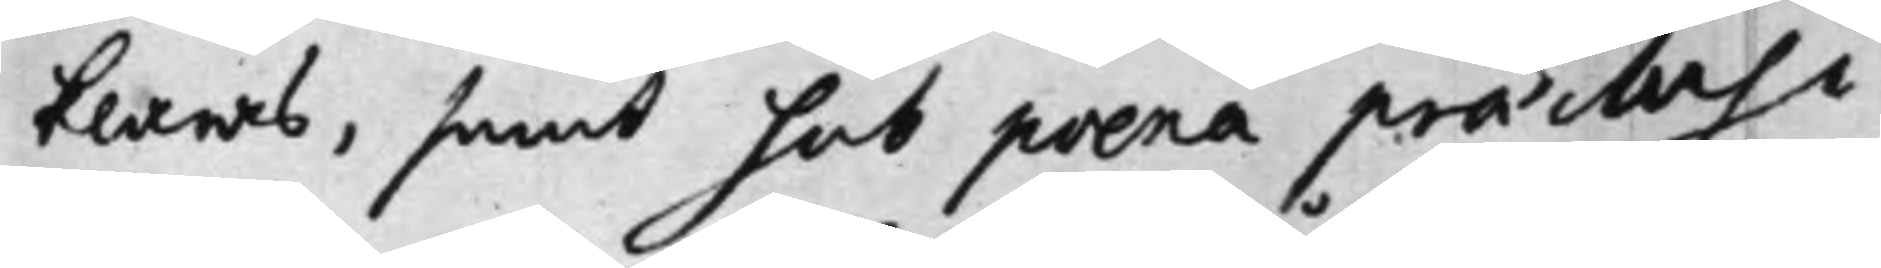klaras, samt hos poena praelusi
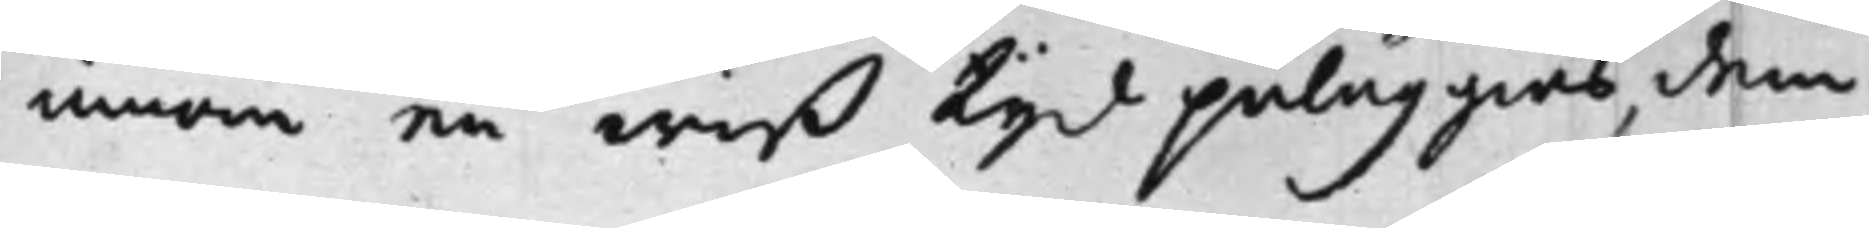innom en wiß tijd påläggias, dem
